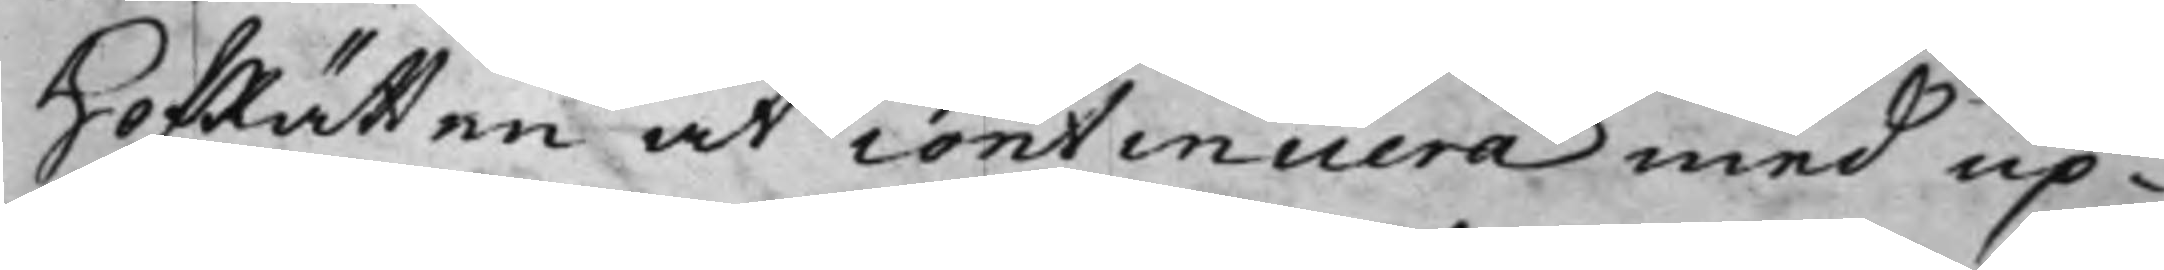HofRätten at continuera med up¬
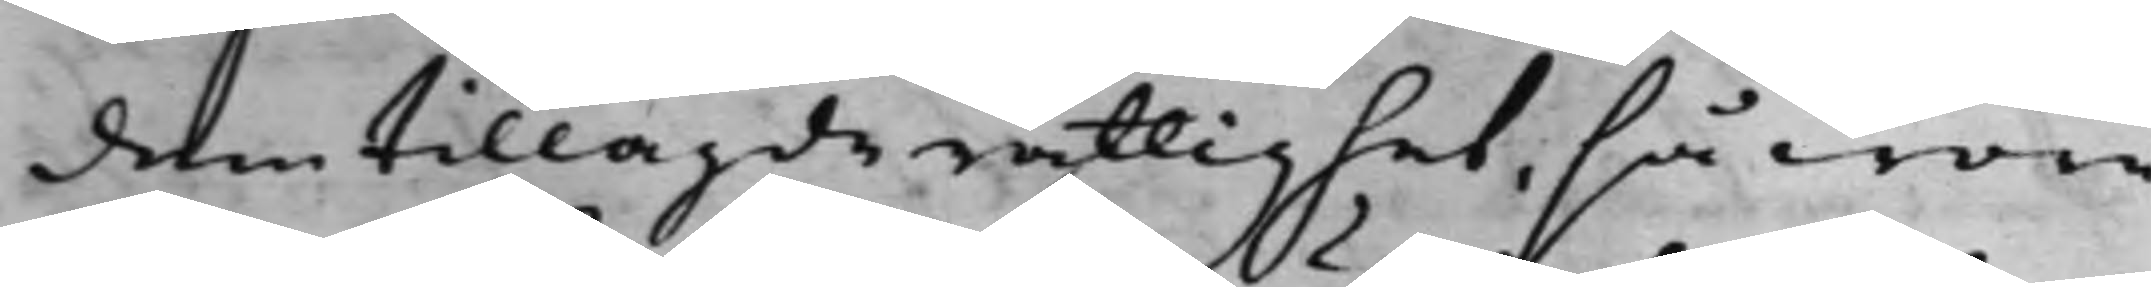dem tillagde rättighet, så wore
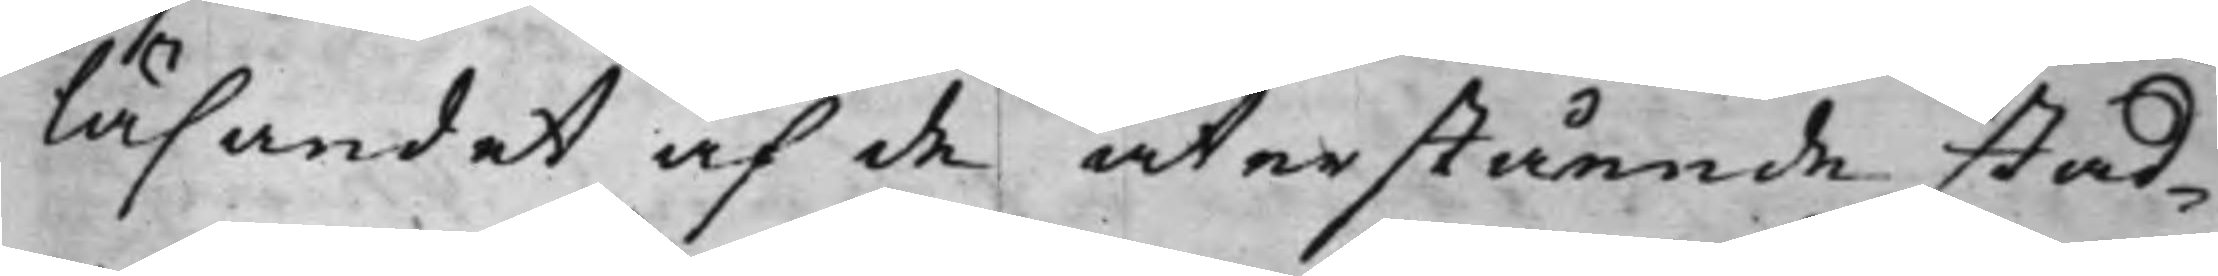läsandet af de återstående stad¬
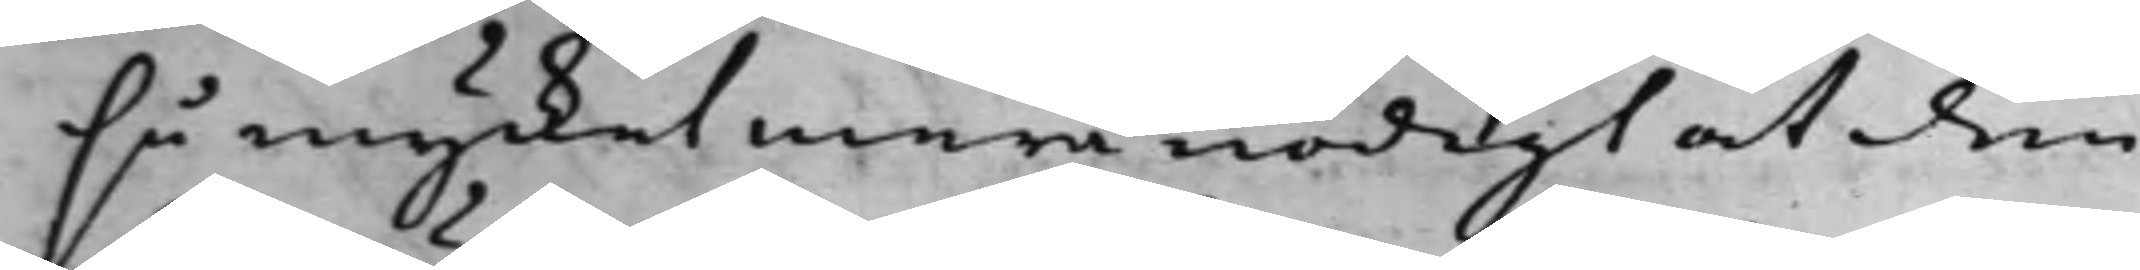så mycket mera nödigt at den
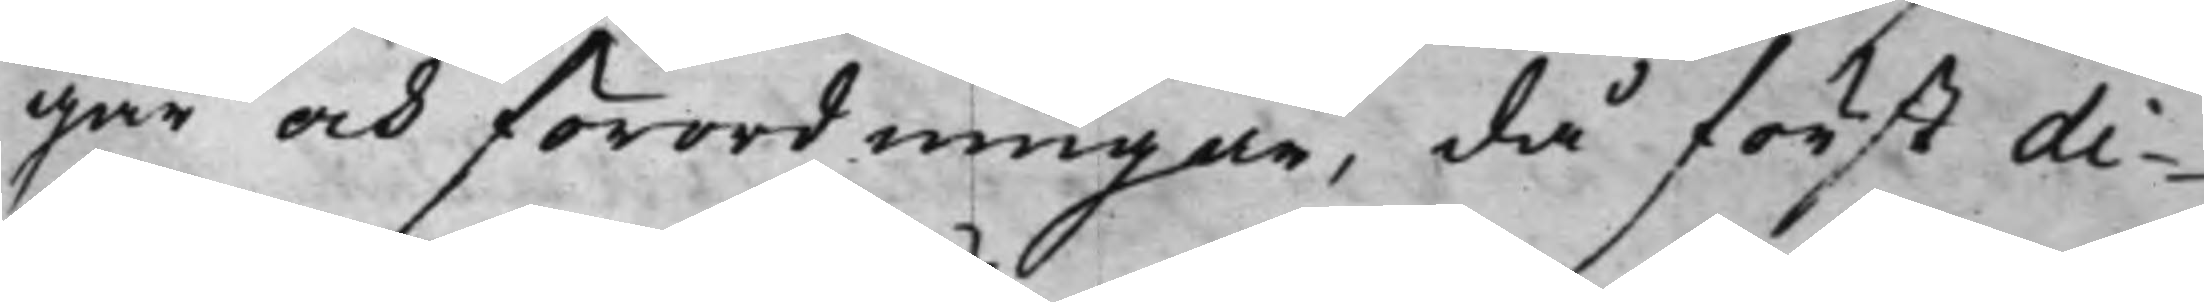gar och förordningar, då först di¬
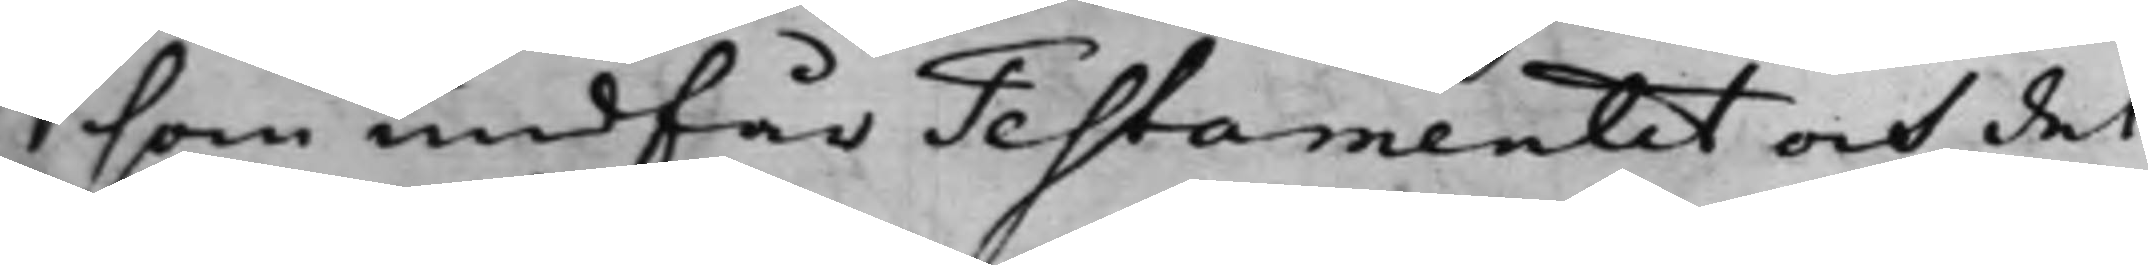som undfår Testamentet och det
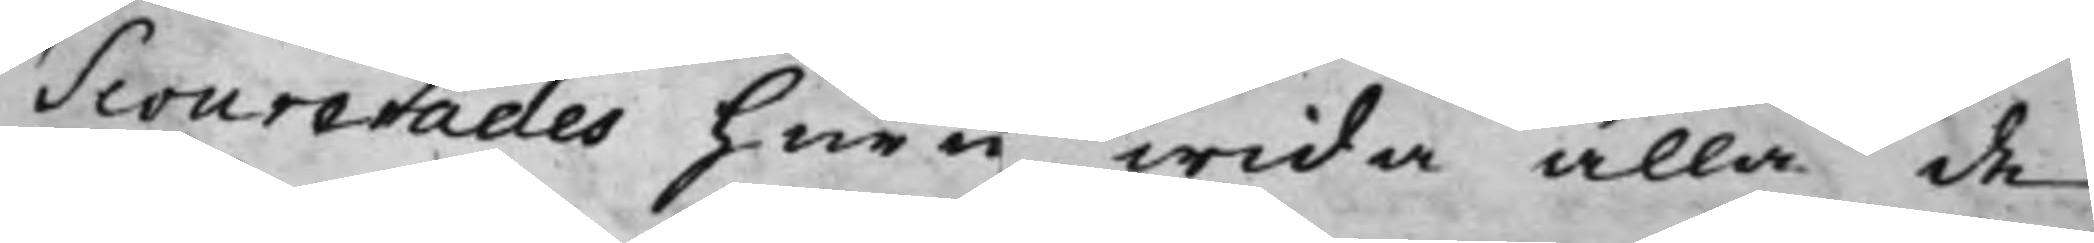scourerades huru wida alla de
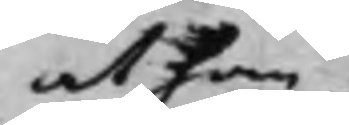at han
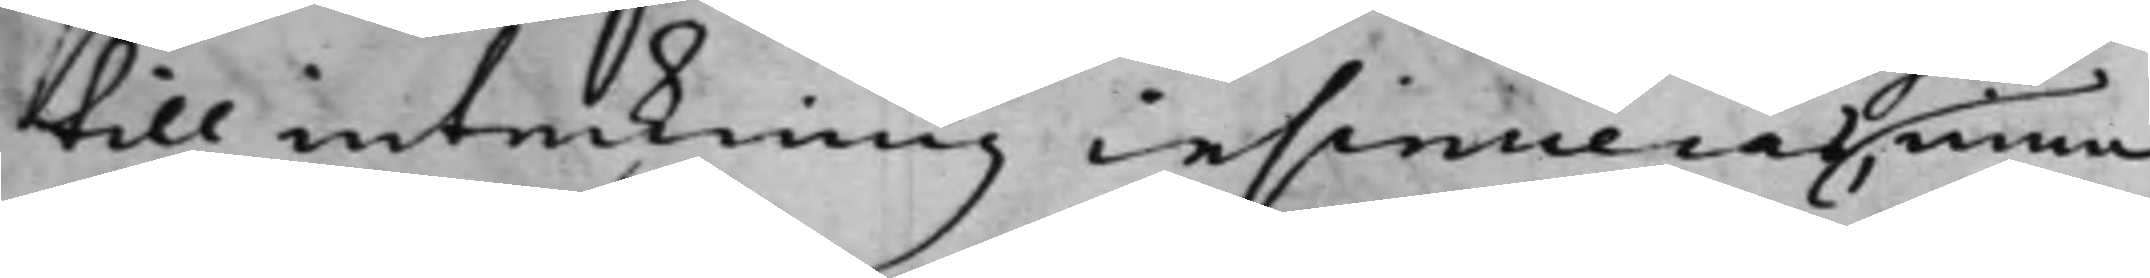till inteckning insinuerad, mina¬
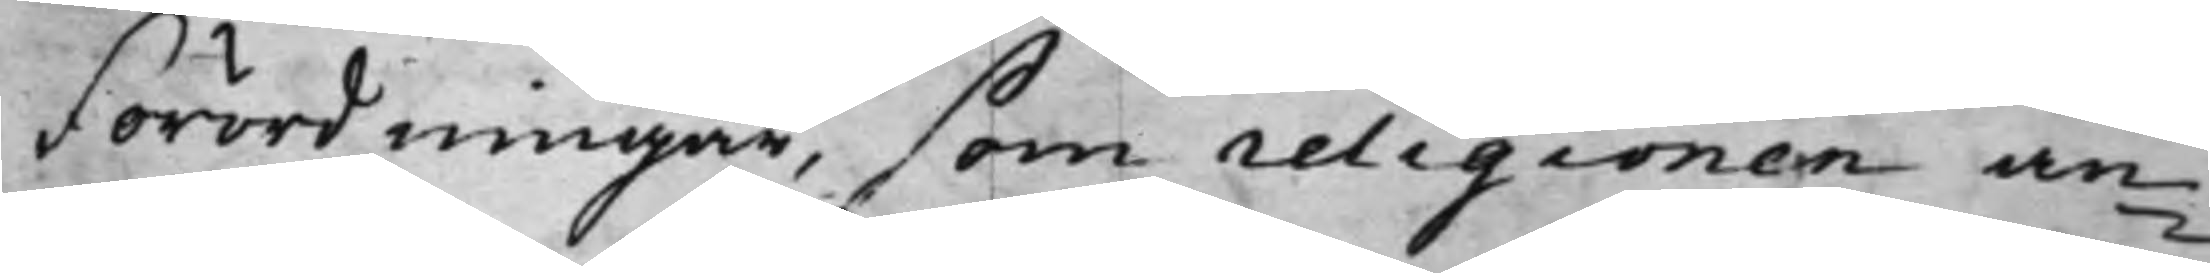Förordningar, som religionen an¬
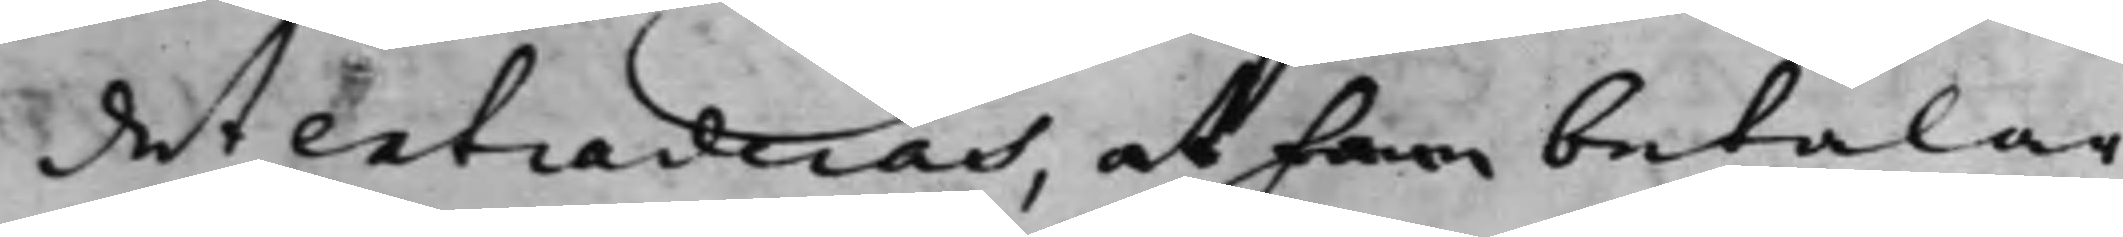det extraderas, at som betalar,
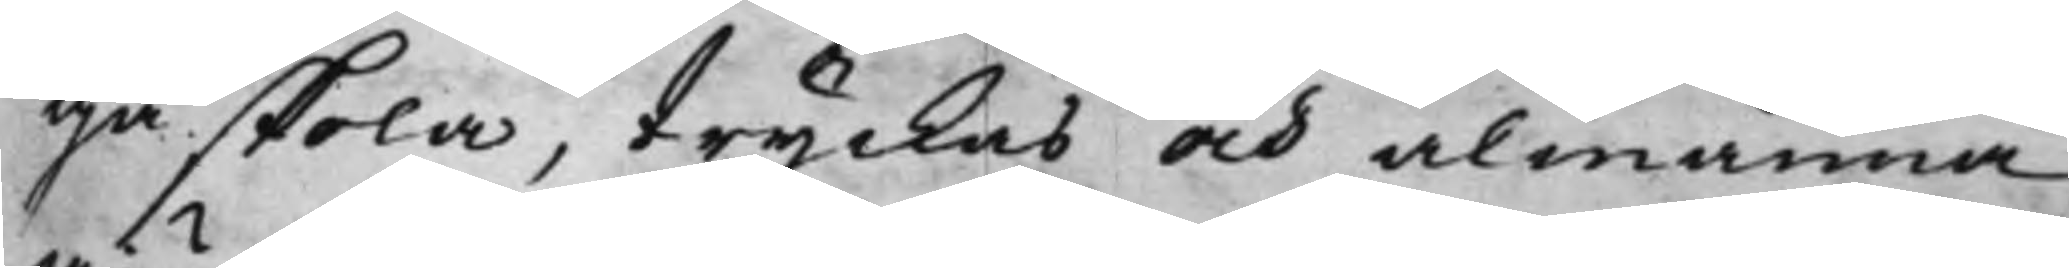ga skola, tryckas och almänna,
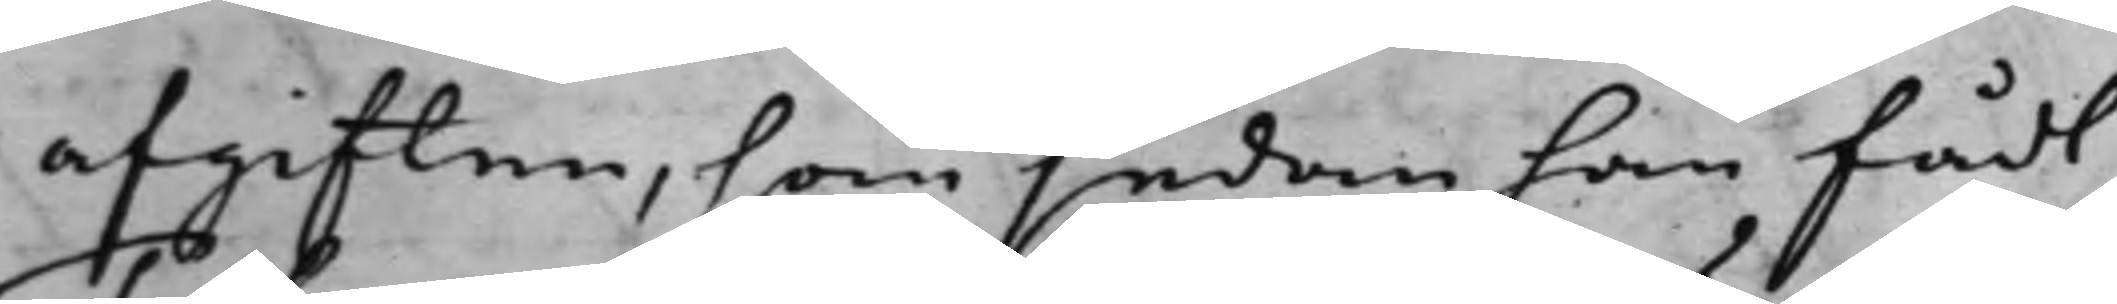afgiften, som sedan han fådt
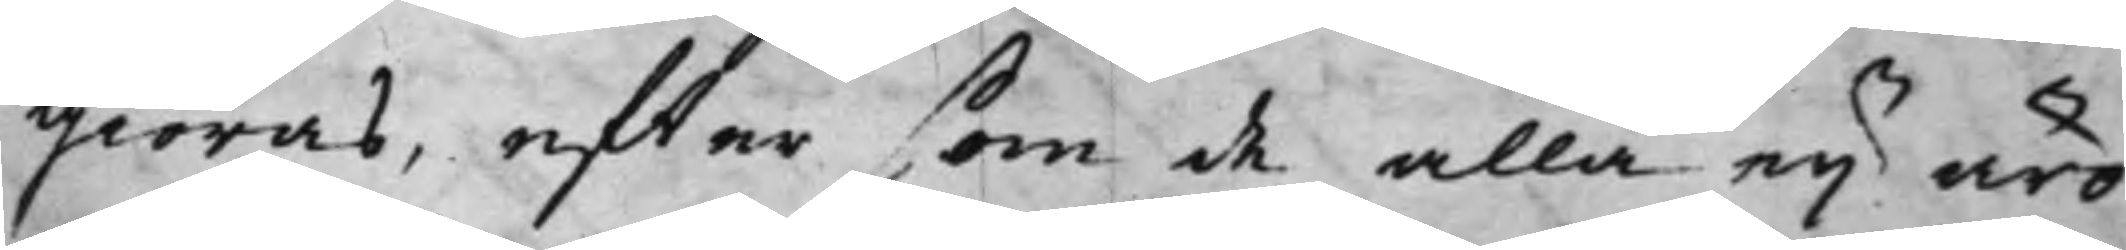giöras, effter som de alla eij äro
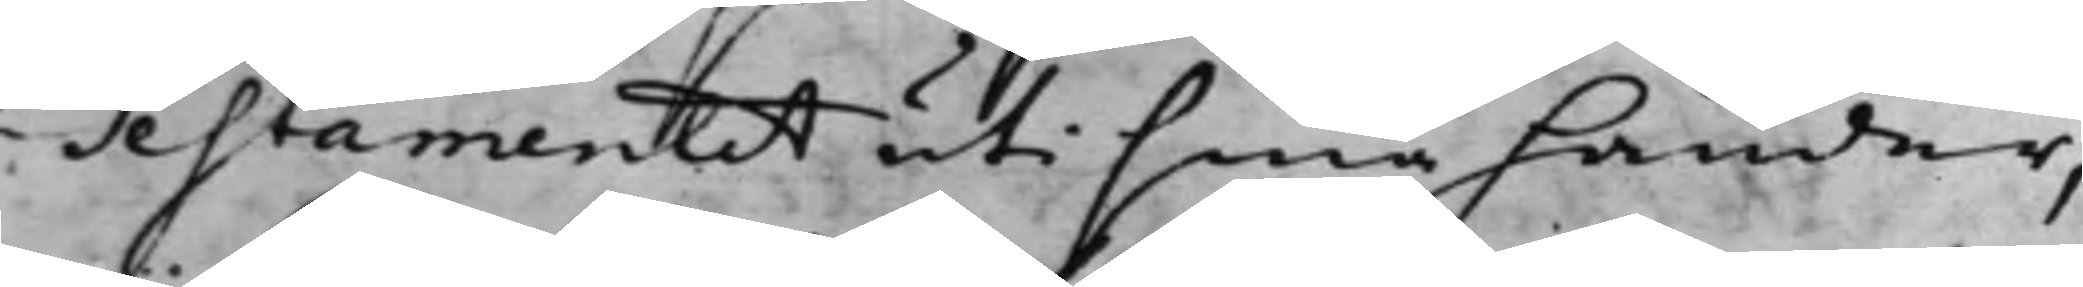Testamentet uti sina händer,
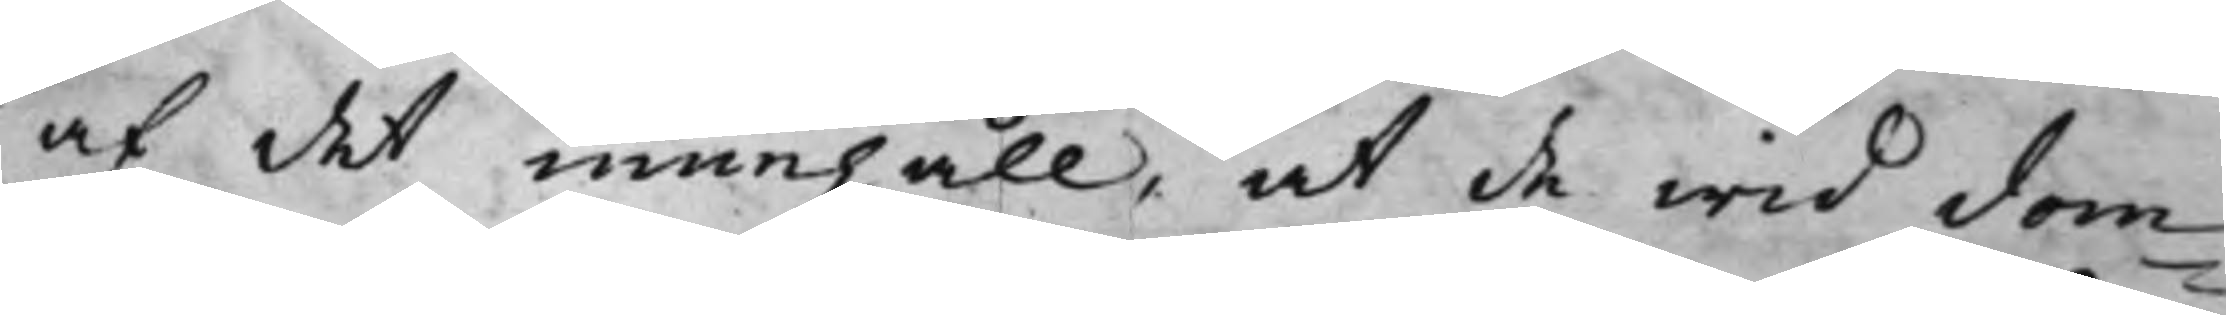af det innehåll, at de wid dom
